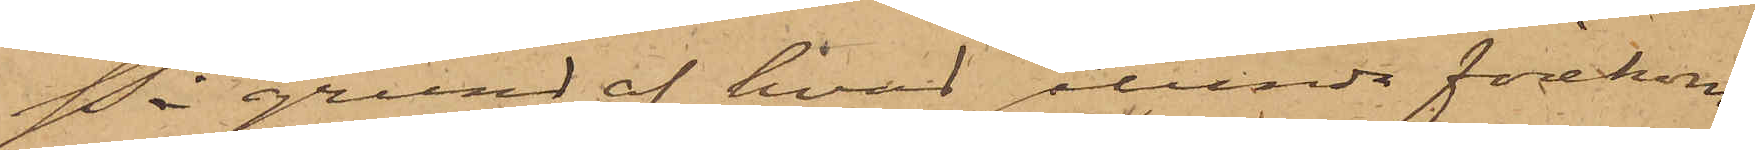På grund af hvad sålunda förekom¬
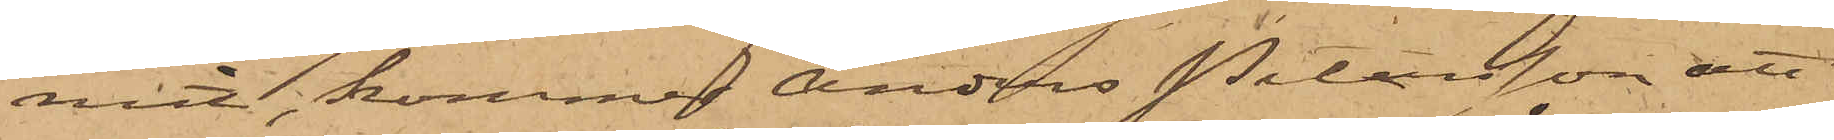mit, kommer Anders Petersson att
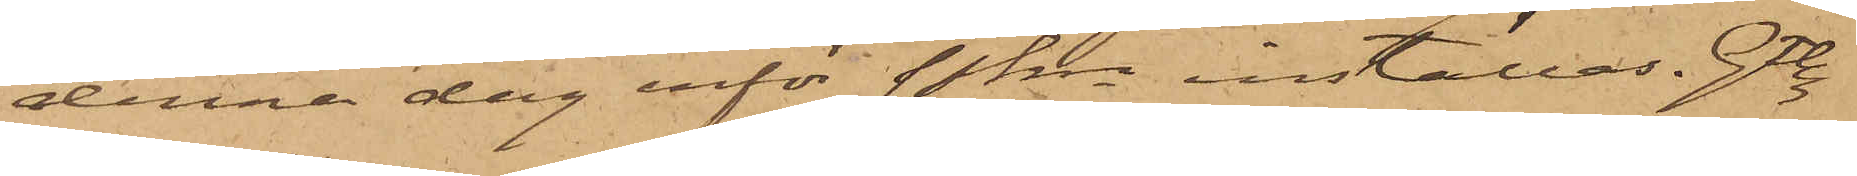denna dag inför Pkn inställas. Gtbg
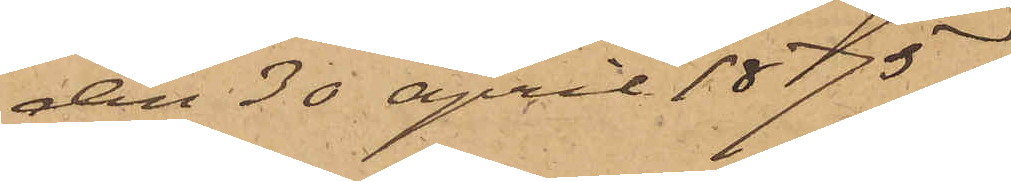den 30 April 1875.
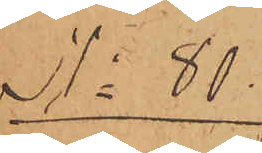No 80.
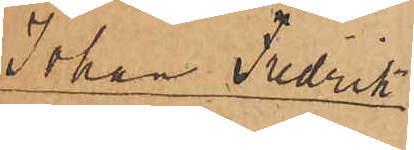Johan Fredrik
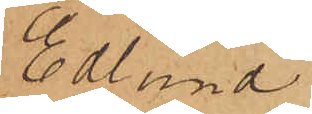Eklund
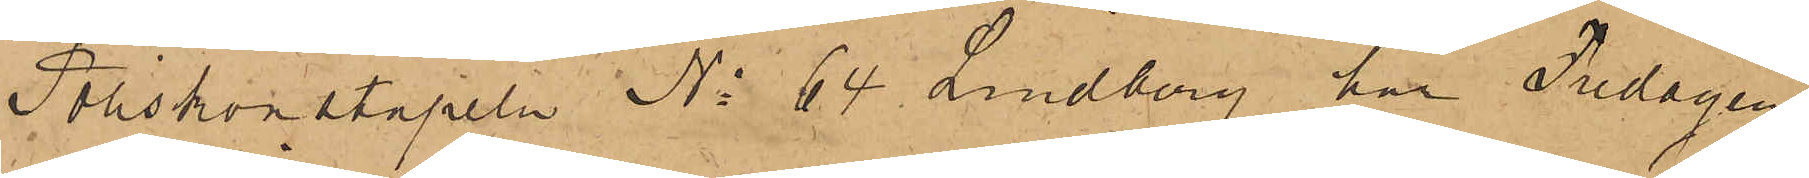Poliskonstapeln No 64 Lindberg, har Fredagen
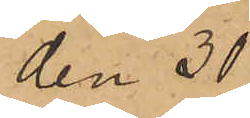den 30
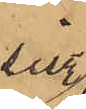sistl.
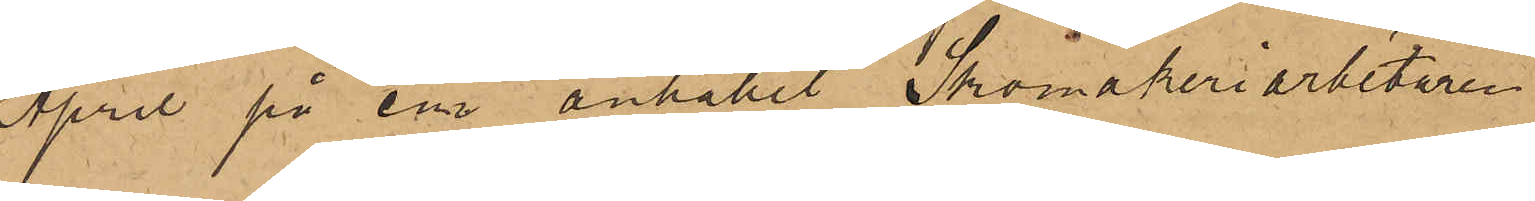April på em anhållit Skomakeriarbetaren
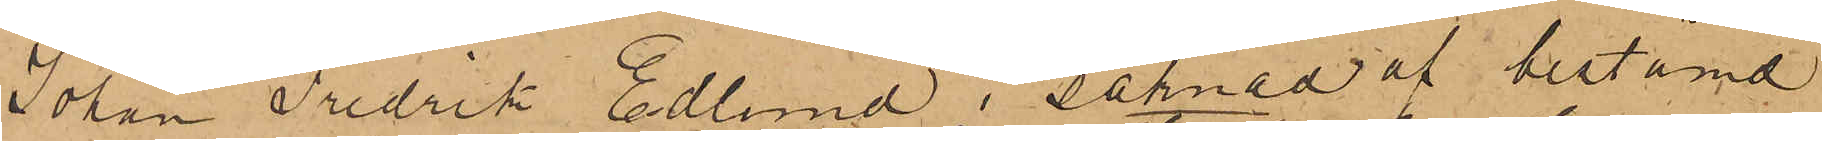Johan Fredrik Edlund i saknad af bestämd
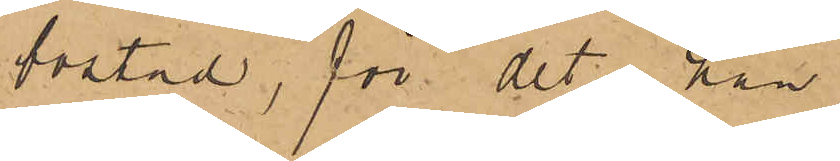bostad, för det han
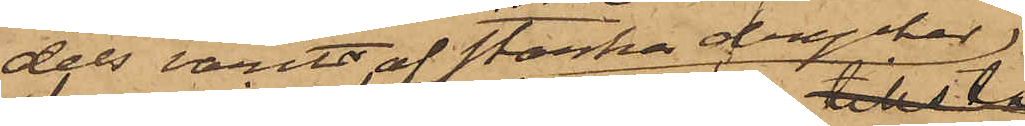dels varit af starka drycker
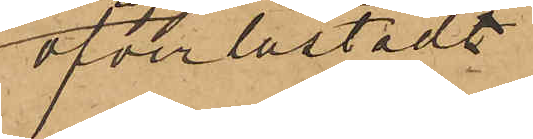öfverlastadt
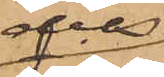dels
